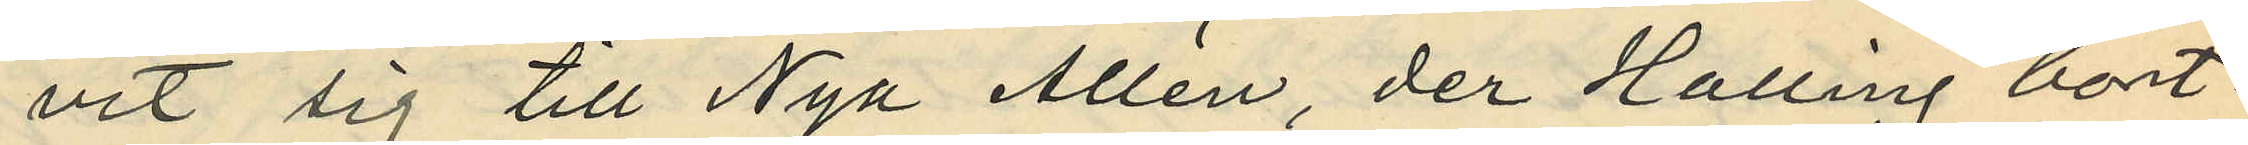vit sig till Nya Allén, der Halling bort¬
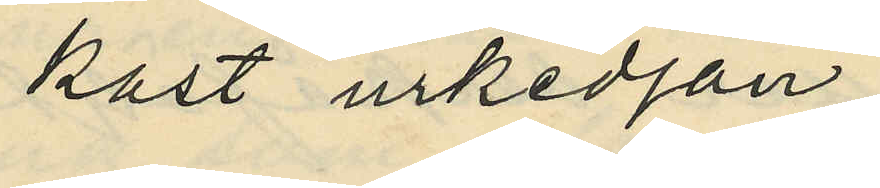kast urkedjan,
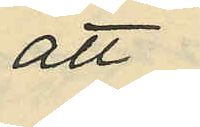att
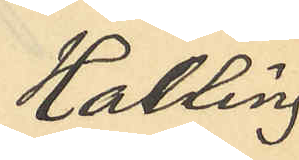Halling
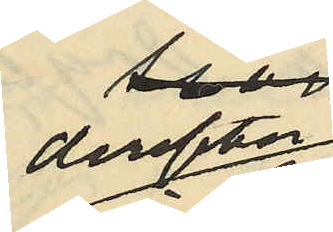derefter
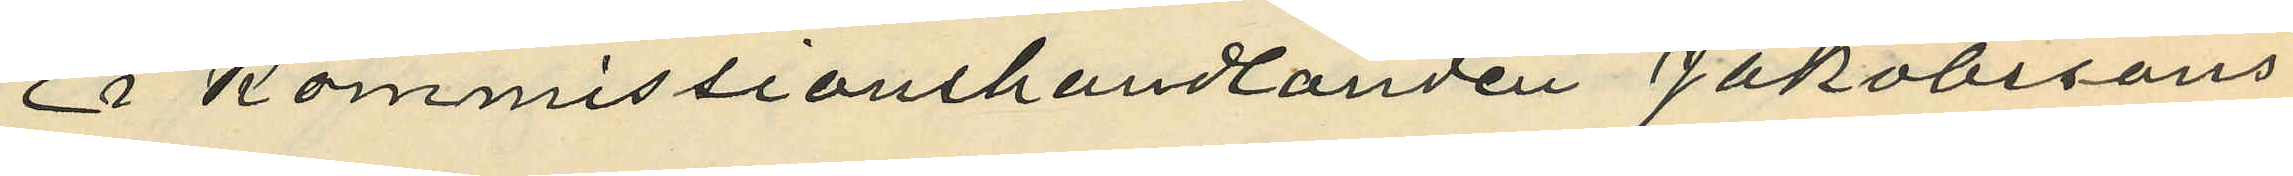i Kommissionshandlanden Jakobssons
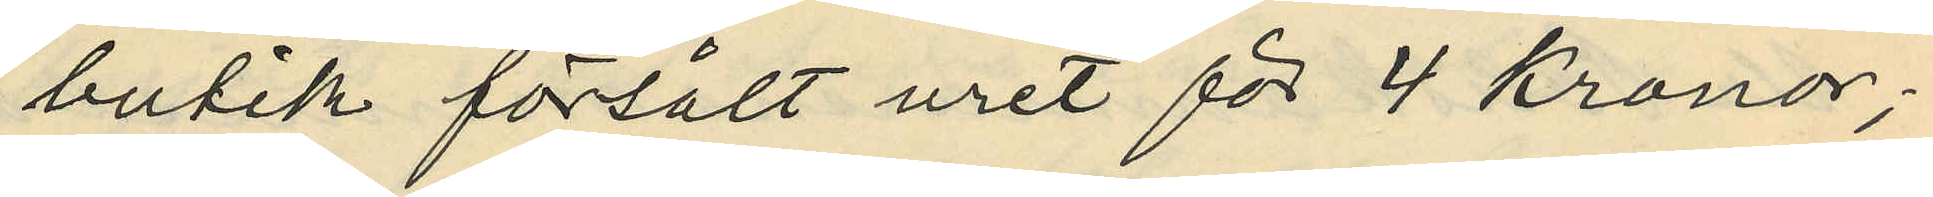butik försålt uret för 4 kronor;
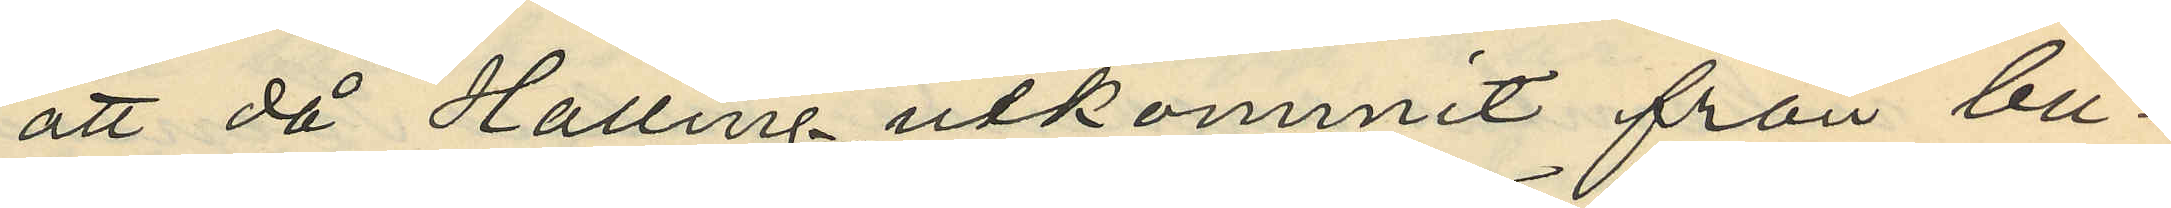att då Hälling utkommit från bu¬
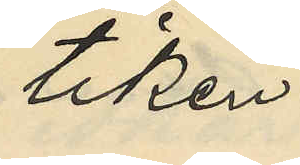tiken
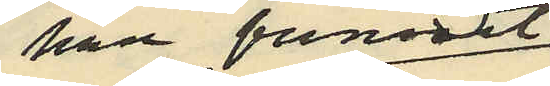han funnit
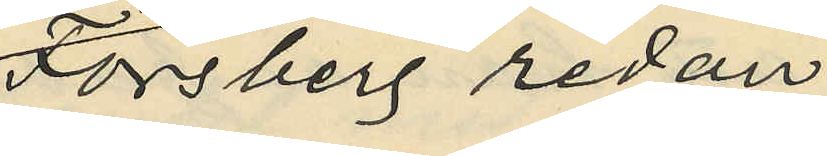Forsberg redan
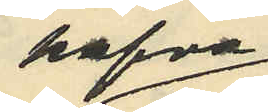hafva
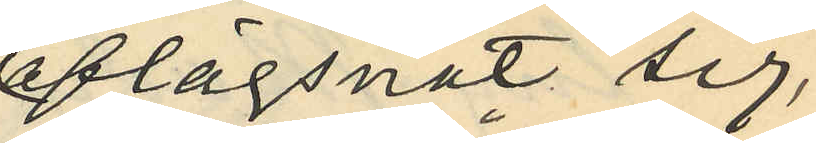aflägsnat sig;
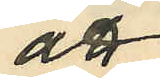att
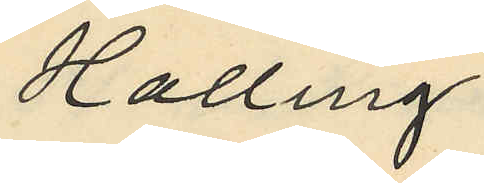Halling
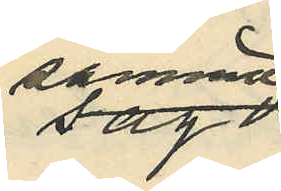samma
